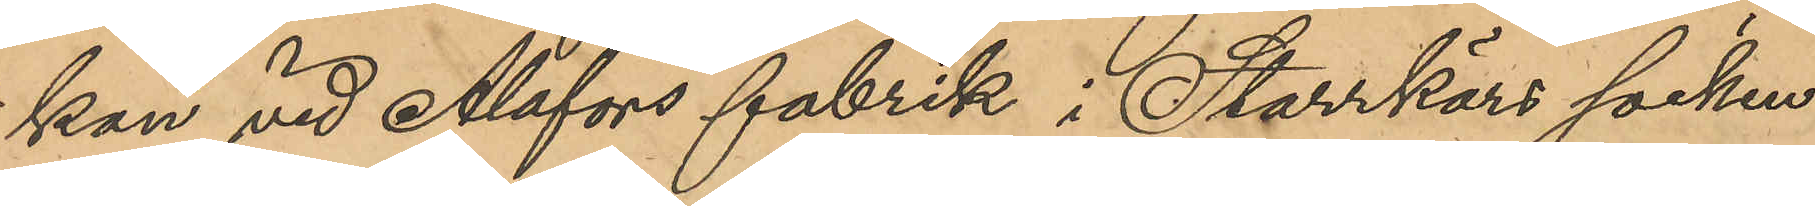kan vid Alafors fabrik i Starrkärs socken
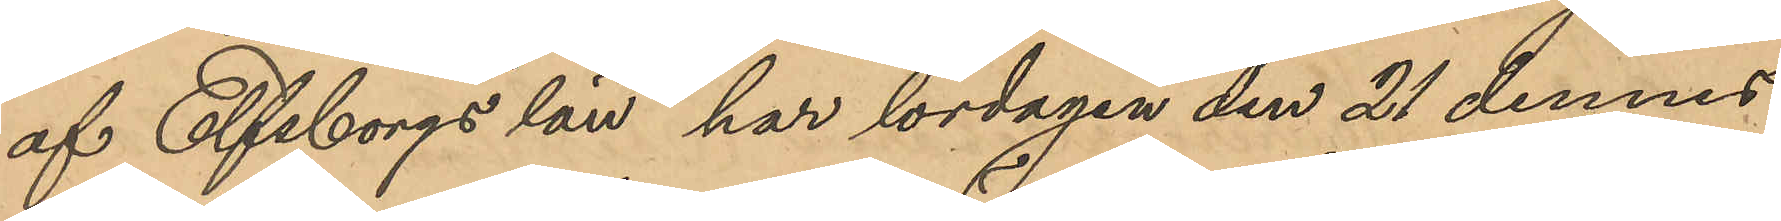af Elfsborgs län har lördagen den 21 dennes
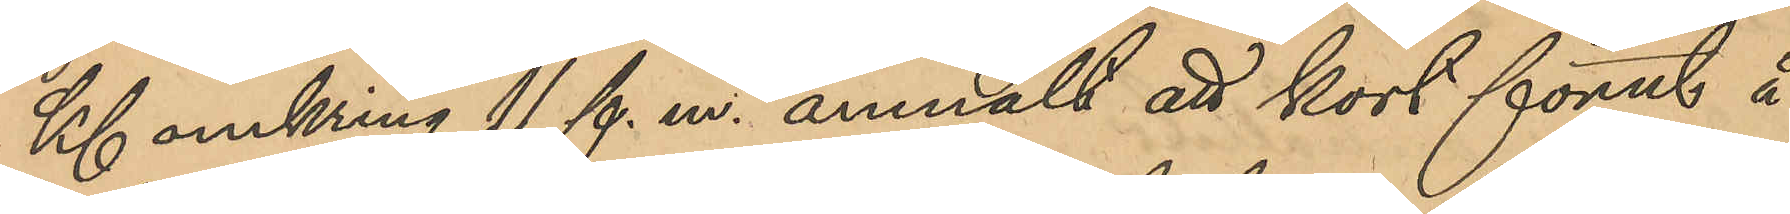Kl omkring 11 f. m. anmält att kort förut å
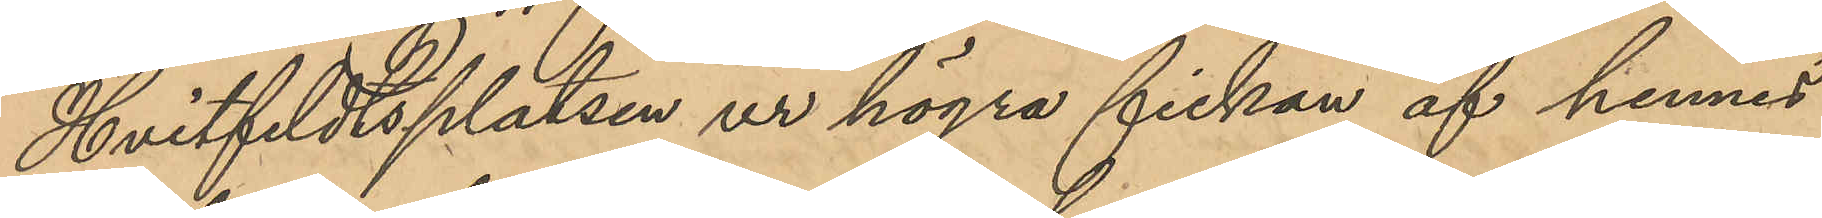Hvitfeldtsplatsen ur högra fickan af hennes
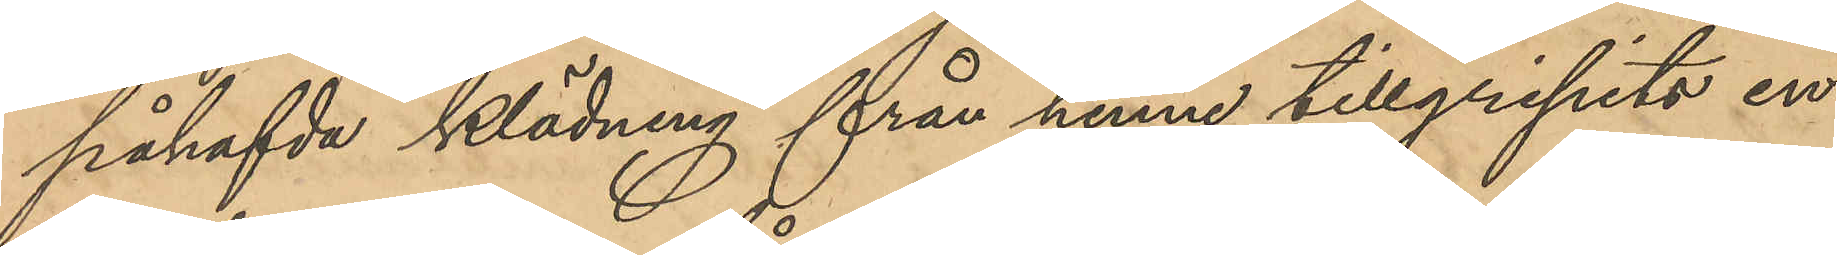påhafvda klädning från henne tillgripits en
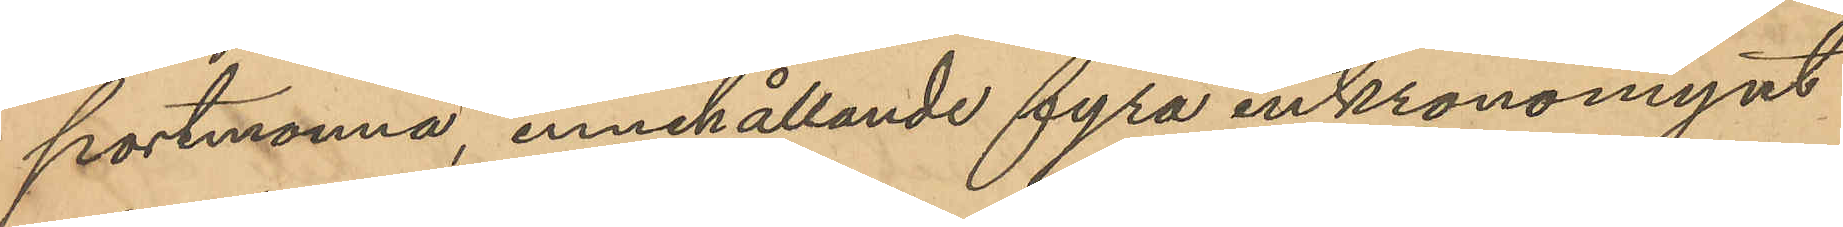portmonnä, innehållande fyra enkronomynt
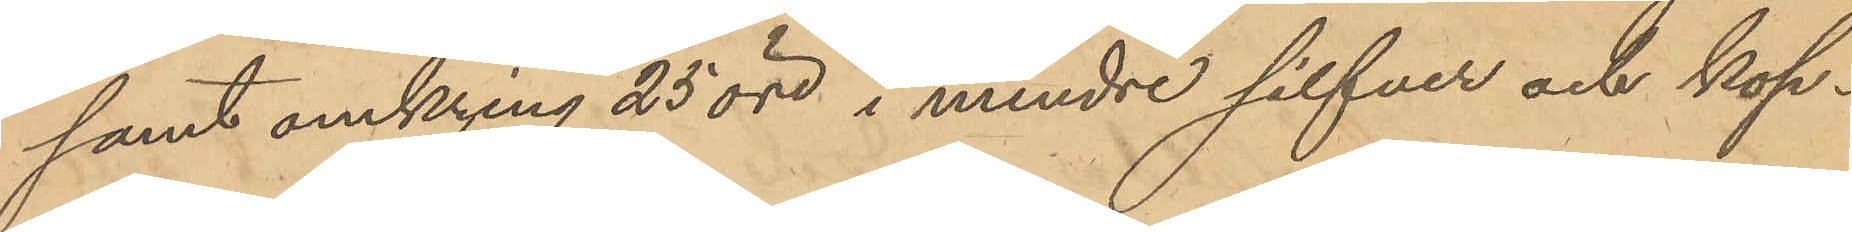samt omkring 25 öre i mindre silfver och kop¬
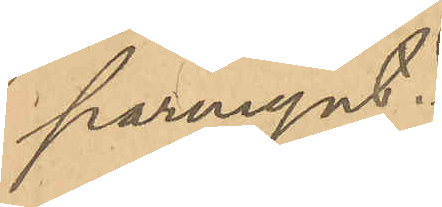parmynt.
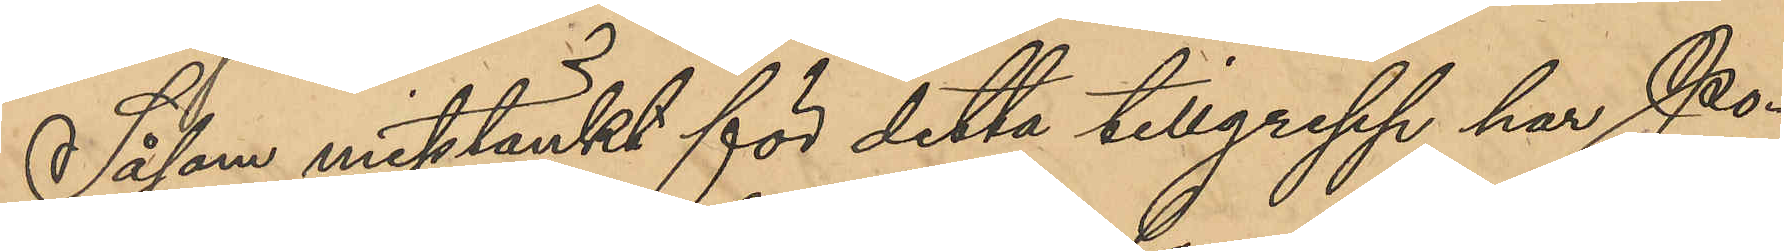Såsom misstänkt för detta tillgrepp har Po¬
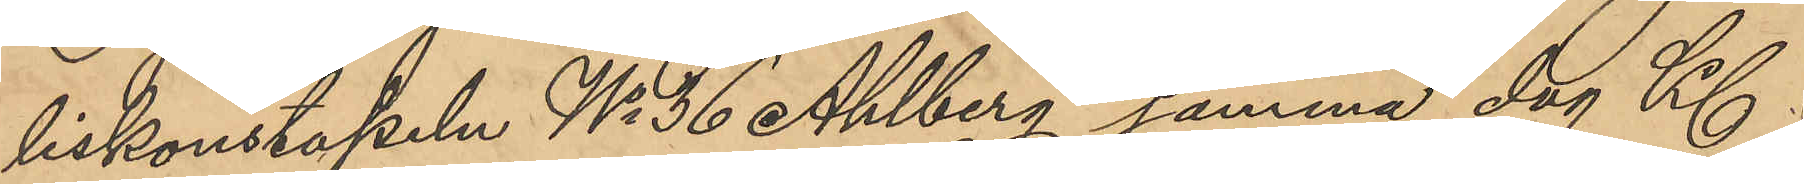liskonstapeln No 36 Ahlberg samma dag Kl
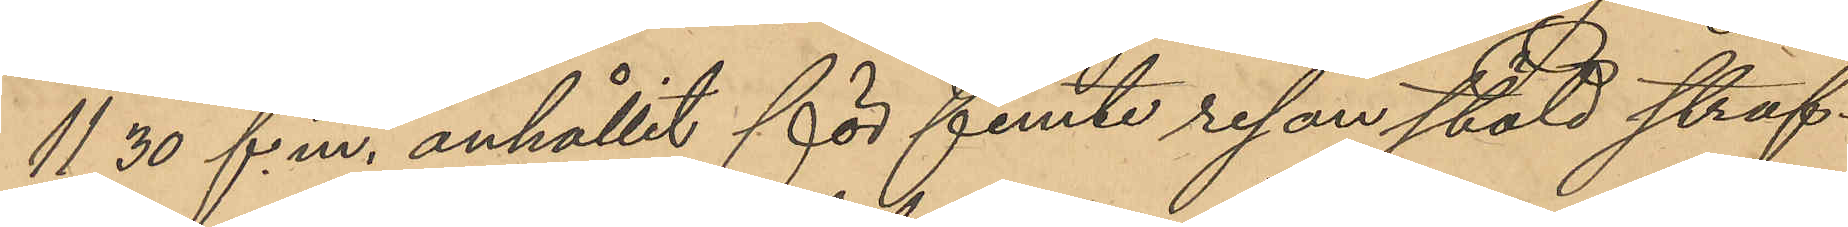11,30 f. m. anhållit för femte resan stöld straf¬
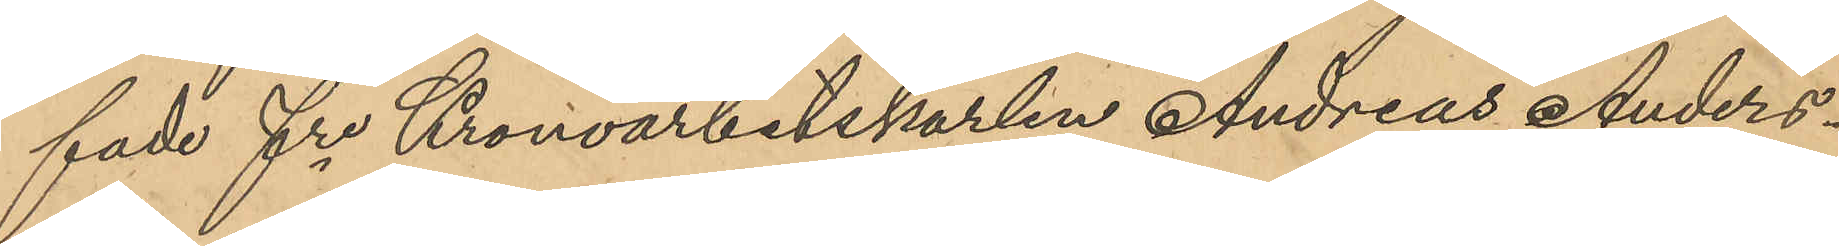fade fre Kronoarbetskarlen Andreas Anders¬
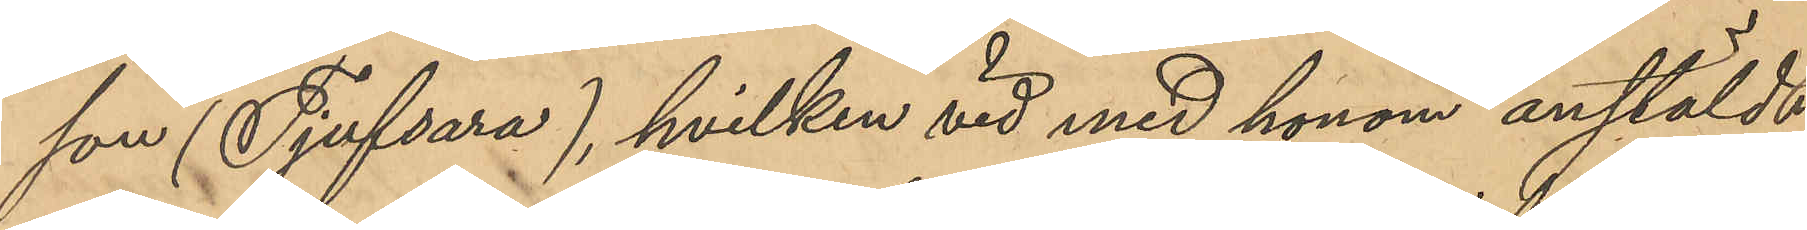son (Tjufsara), hvilken vid med honom anstäldt
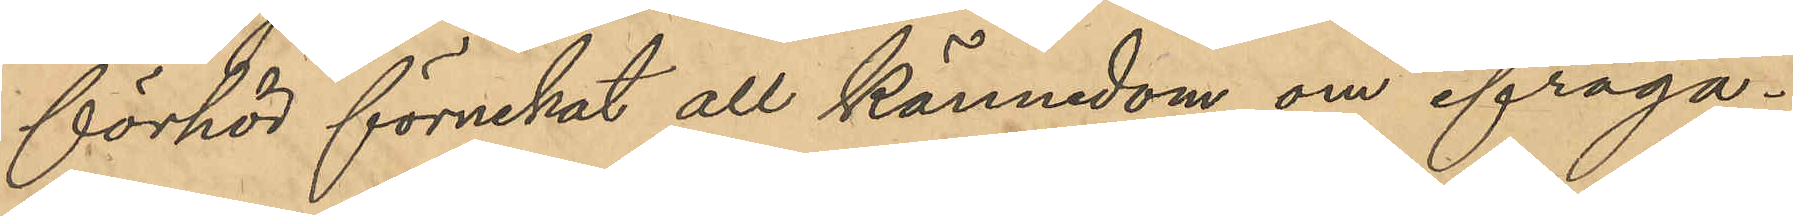förhör förnekat all kännedom om ifråga¬
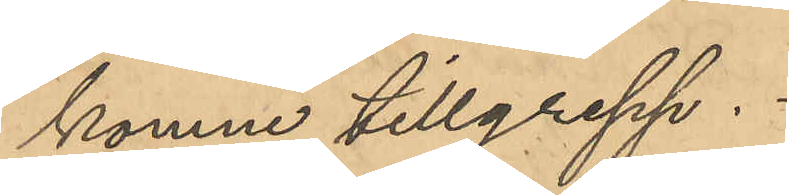komne tillgrepp.
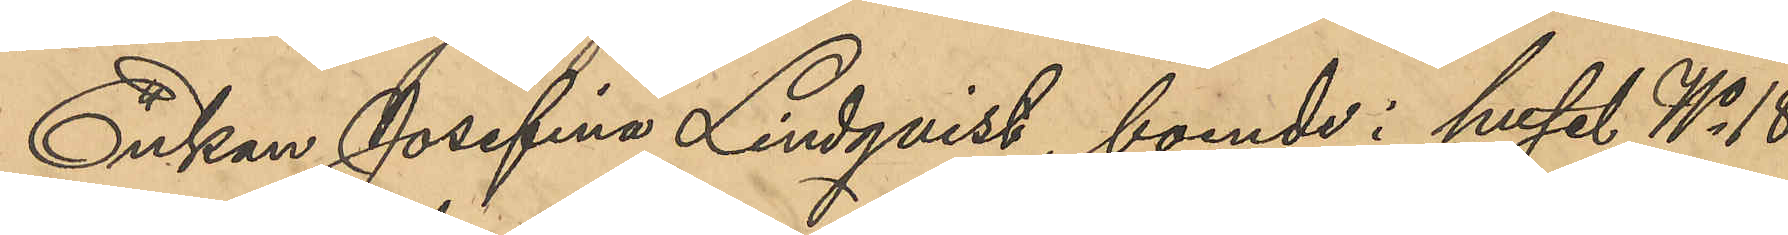Enkan Josefina Lindqvist, boende i huset No 18
